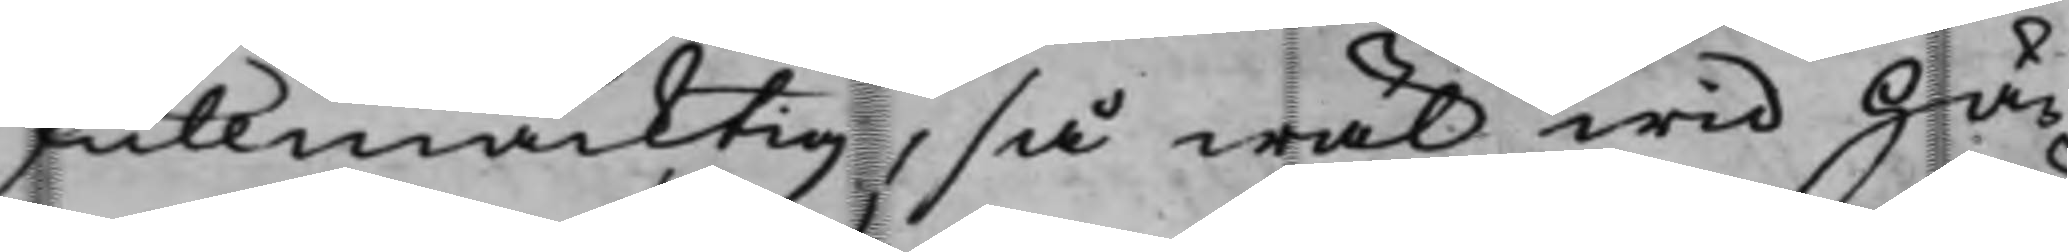fullmäcktig, så wäl wid Hä¬
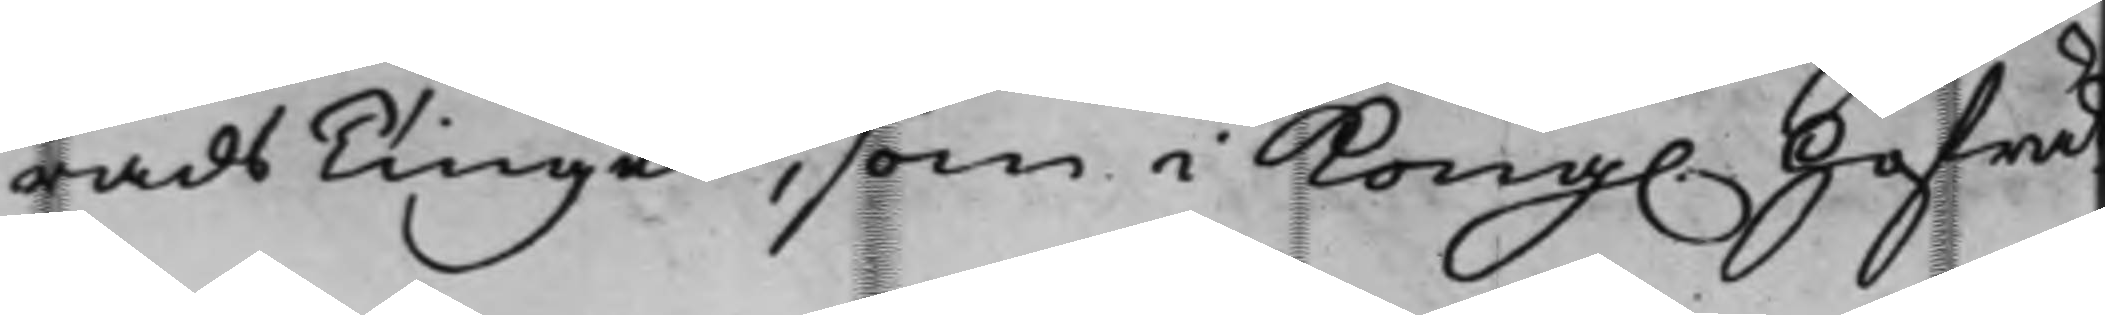radsTinget, som i Kong. Hofrät¬
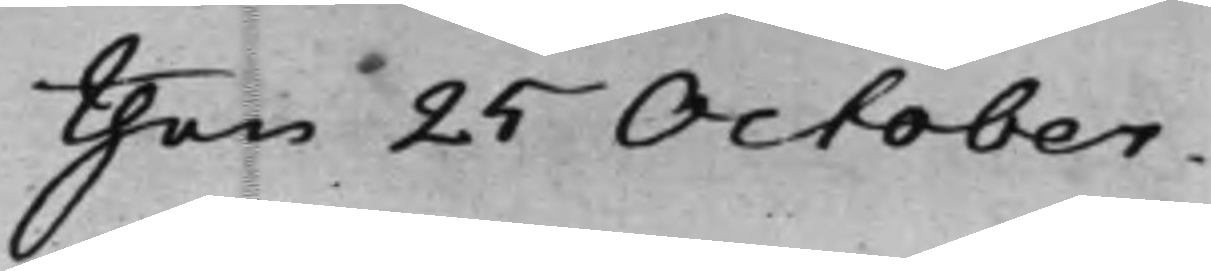then 25 October.
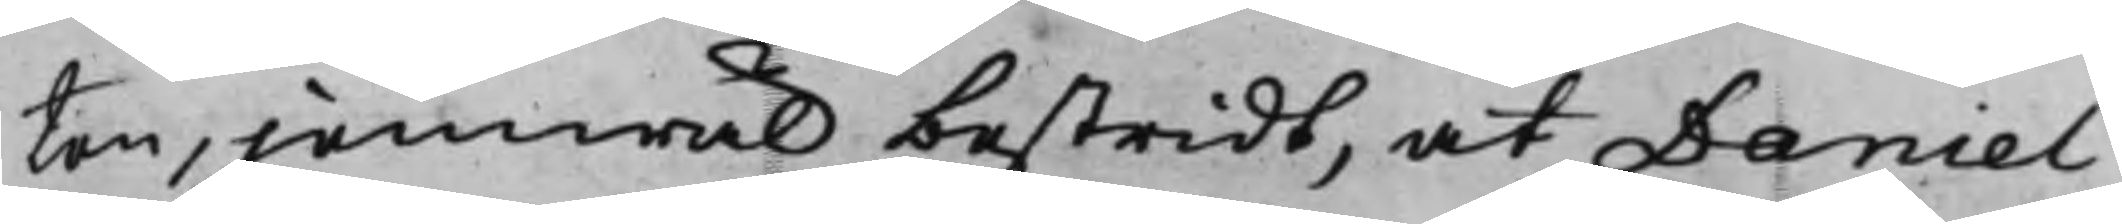ten, jemwäl bestridt, at Daniel
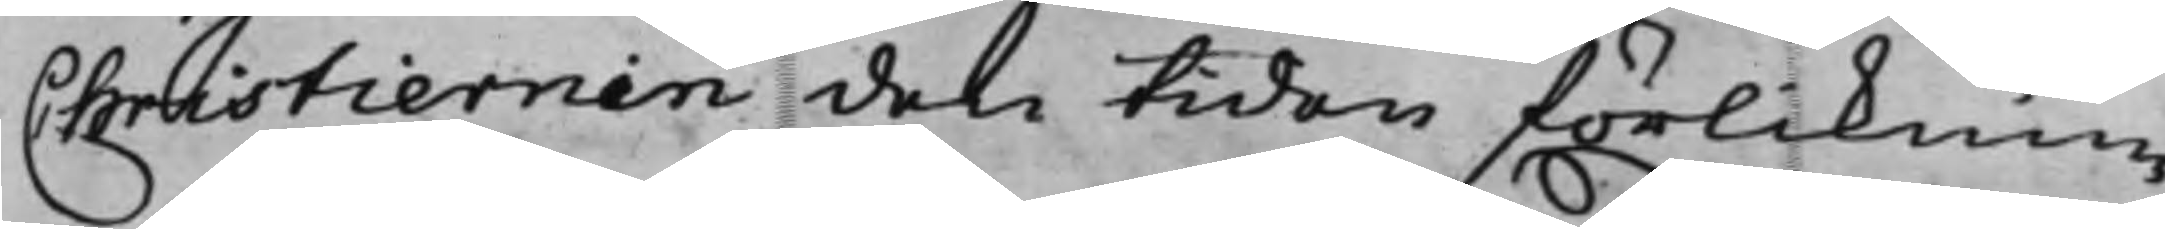Christiernin den tiden förliknin¬
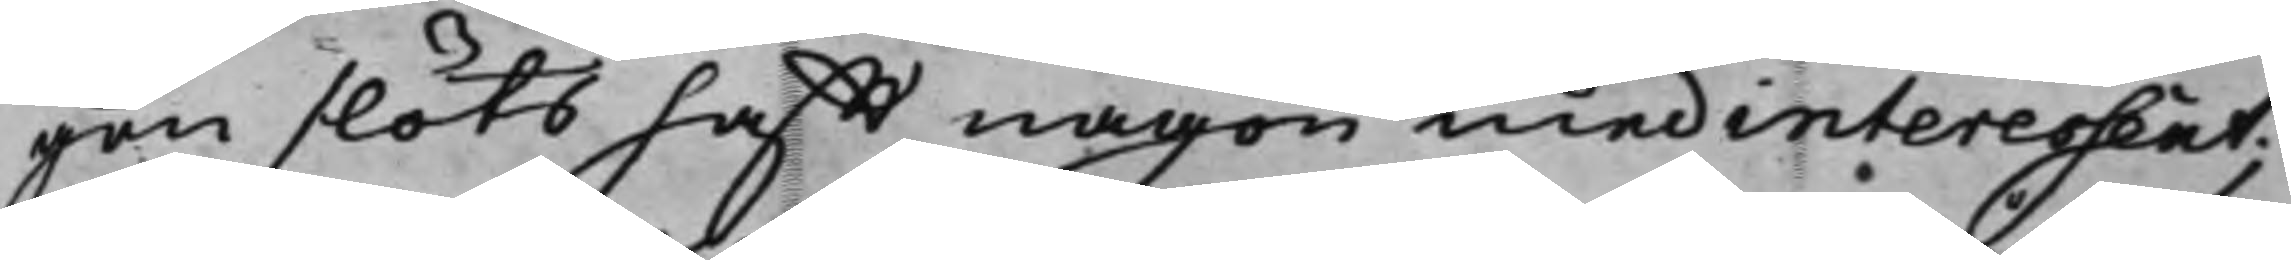gen slöts hafft någon medinteressent;
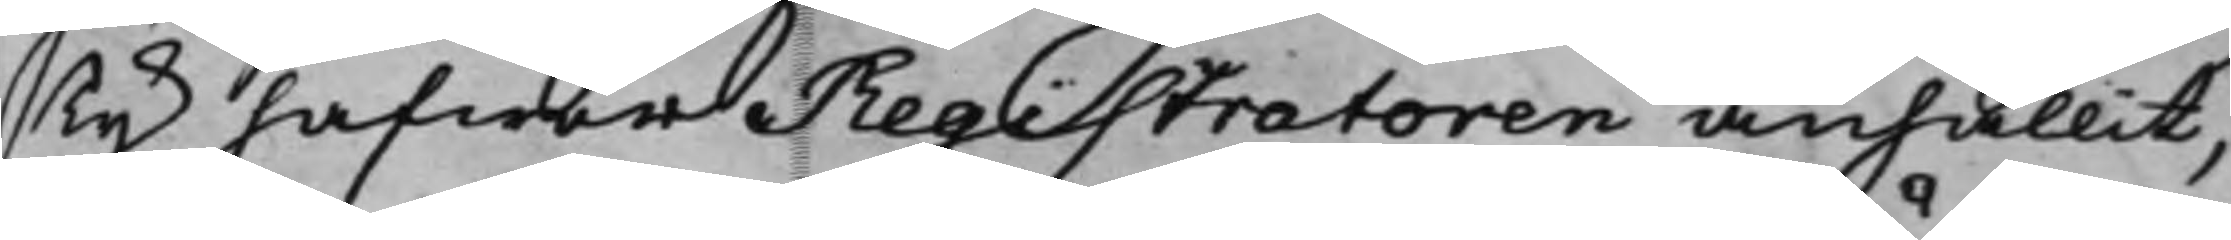Ty hafwer Registratoren anhållit,
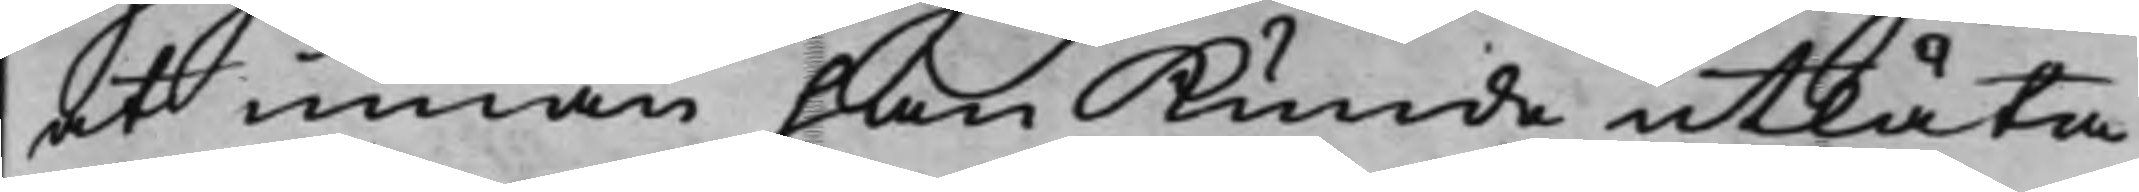at innan han Kunde utlåta
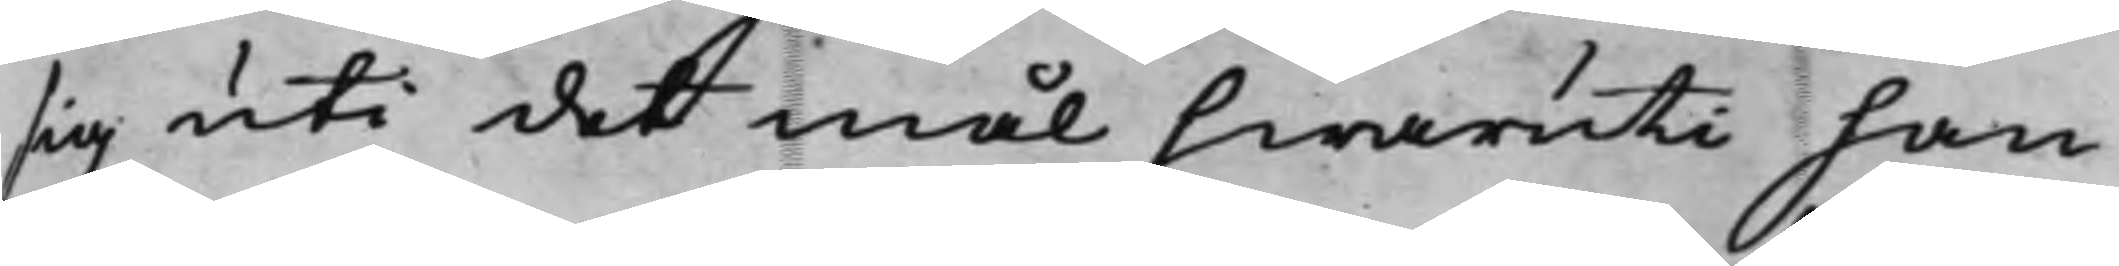sig uti det mål hwaruti han
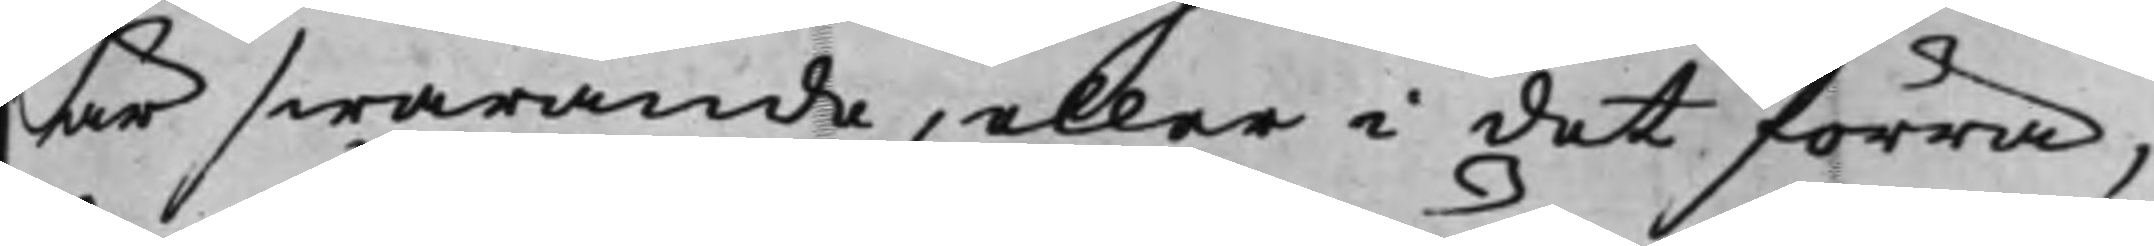är swarande, eller i det förra,
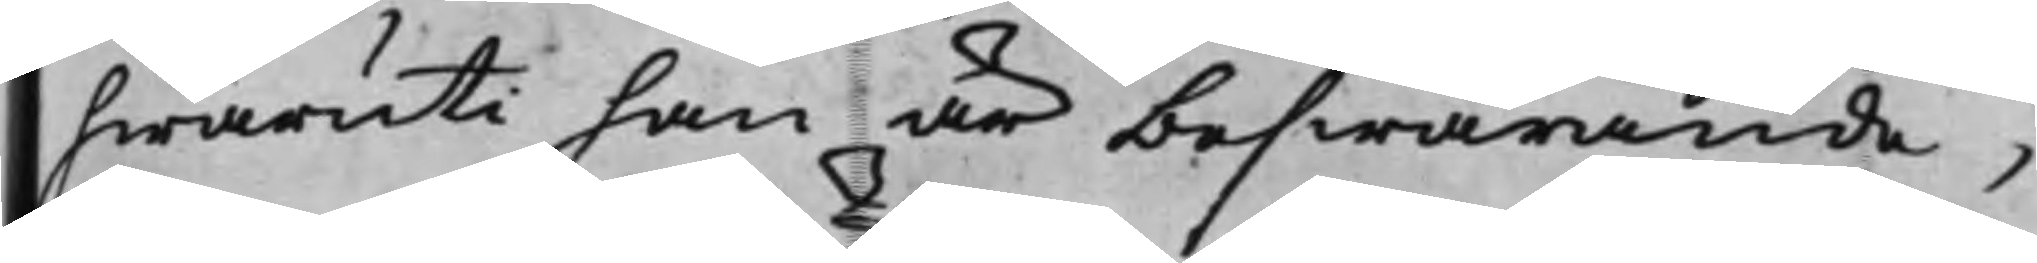hwaruti han är beswärande,
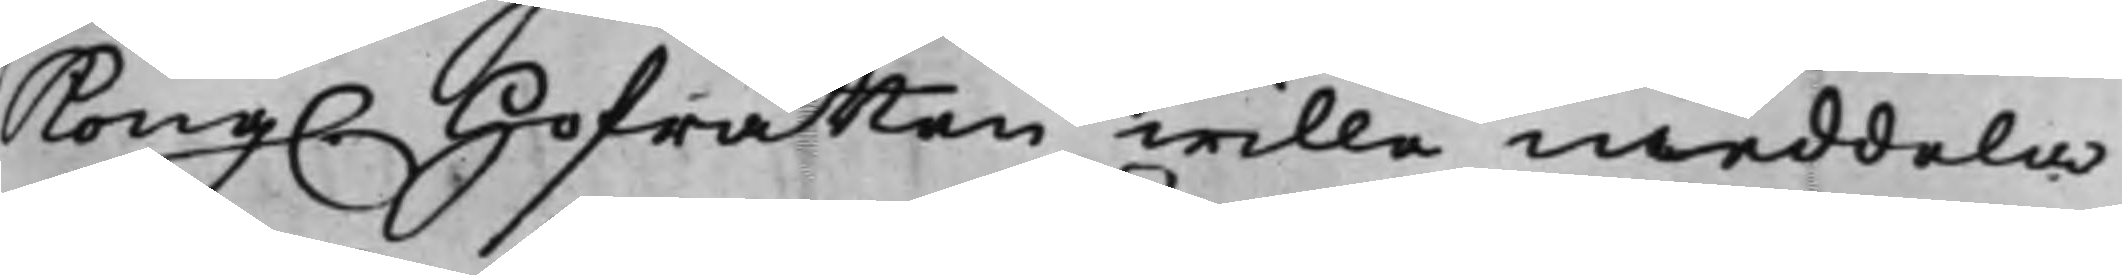Kong. Hofrätten wille meddela
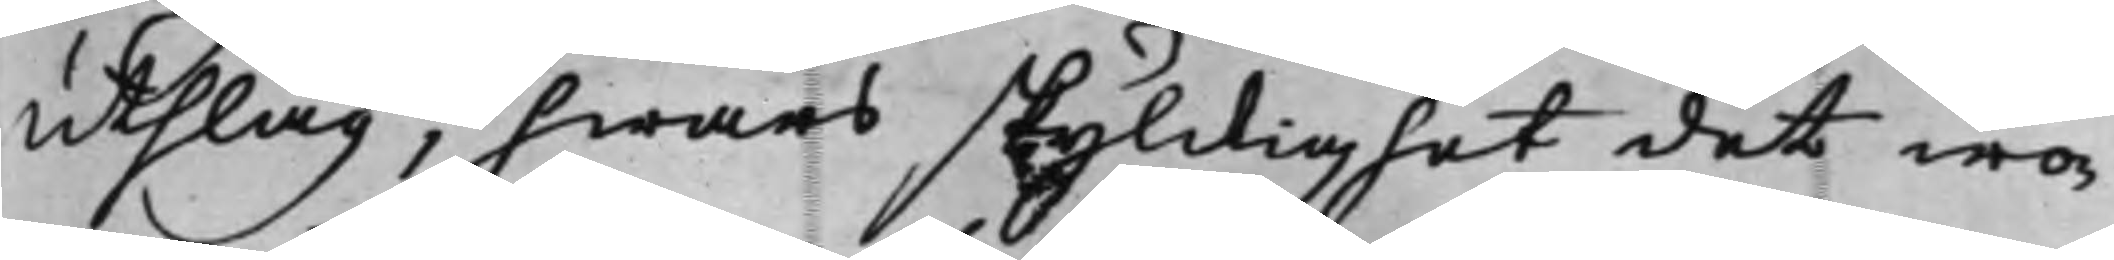utslag, hwars skyldighet det wo¬
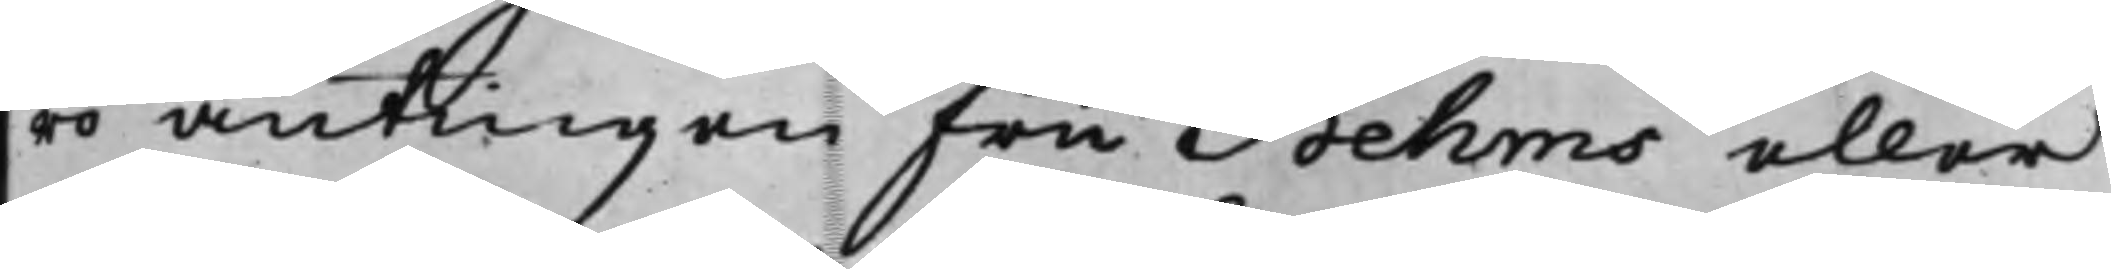ro antingen Fru Behms eller
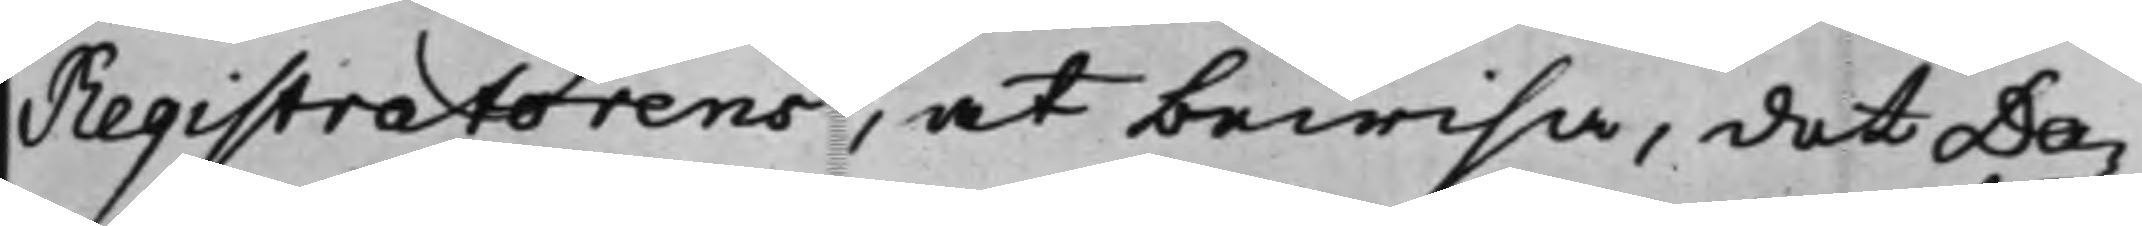Registratorens, at bewisa, det Da¬
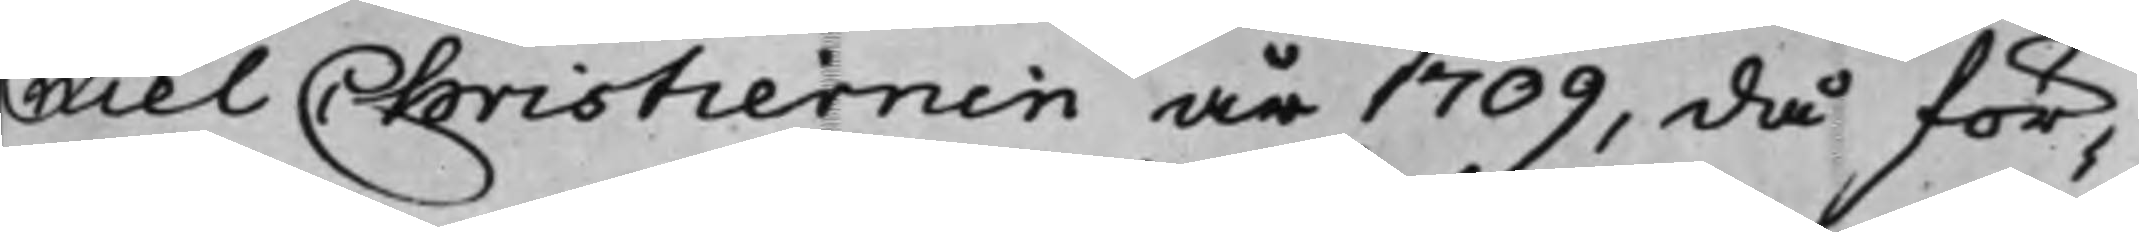niel Christiernin år 1709, då för¬
